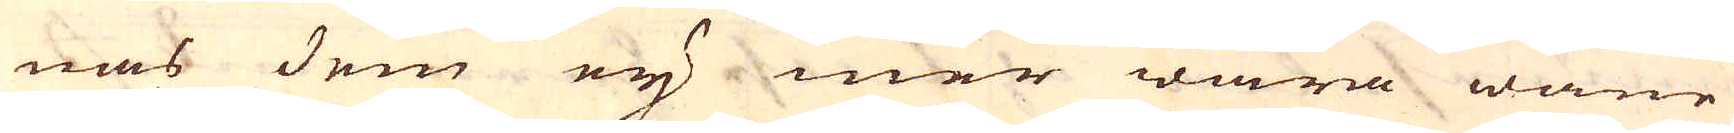nas dem ej mer wara wane
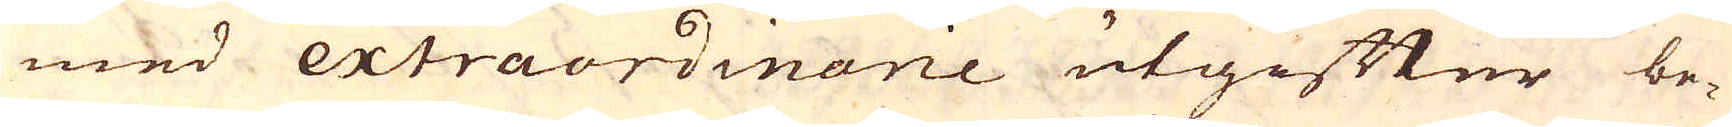med extraordinarie utgifter be-
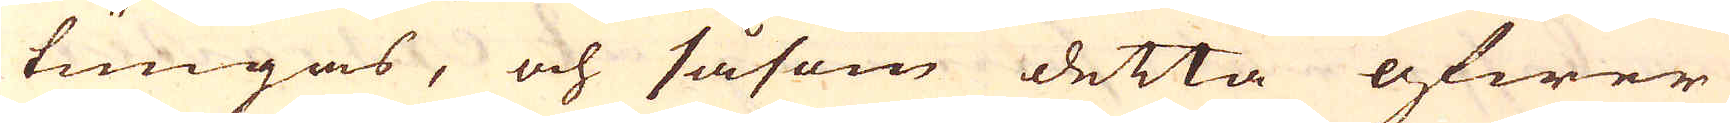tungas, och såsom detta öfwer
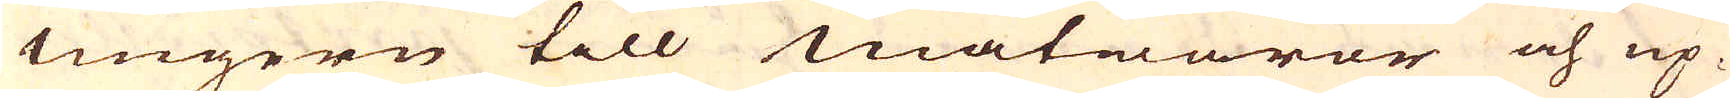Ungern till Matwaror och up-
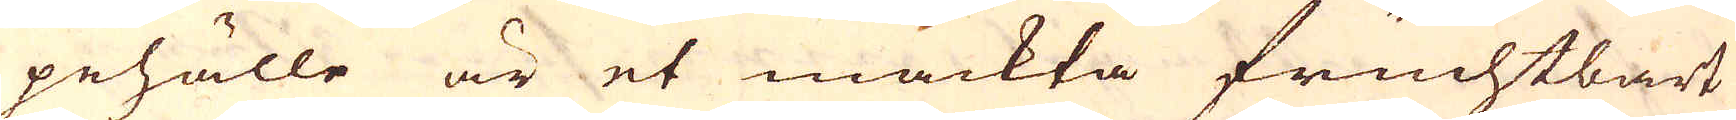pehälle är et mäckta fruchtbart
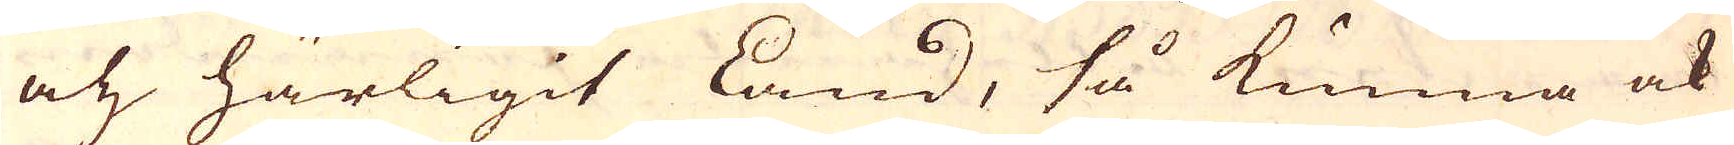och härligit land, så kunna ock
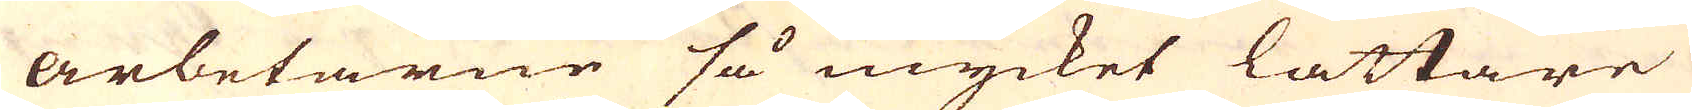arbetarne så mycket lättare
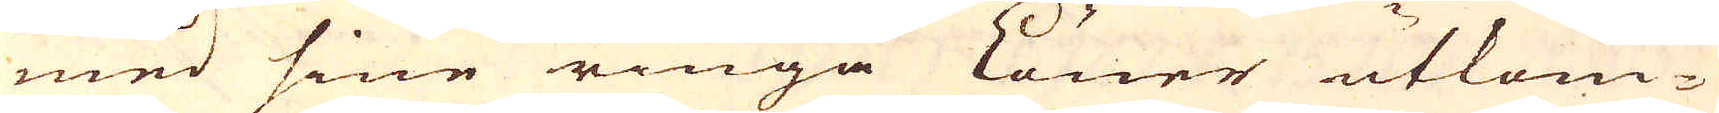med sine ringa löner utkom-
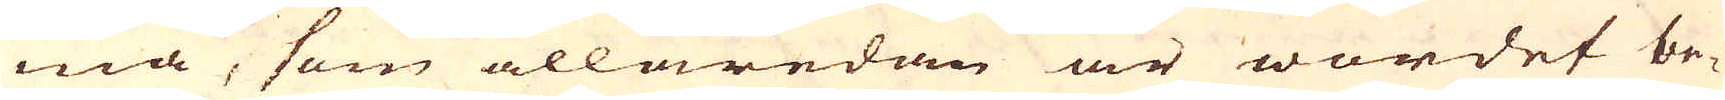ma, som allaredan är wordet be-
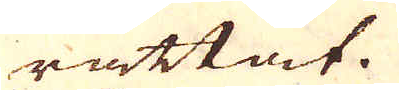rättat.
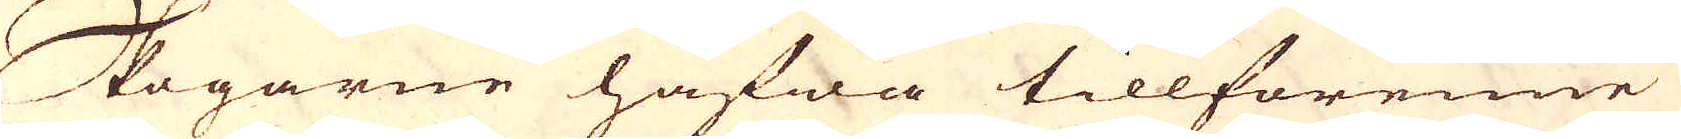Skogarne hafwa tillförenne
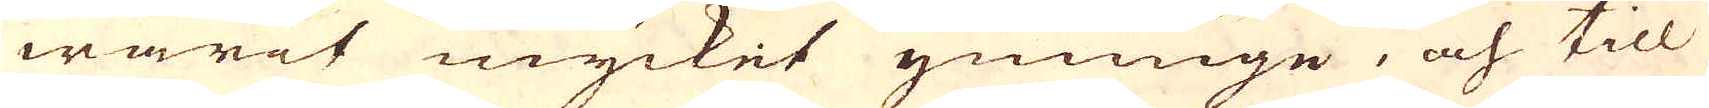warit mycket ymninge, och till
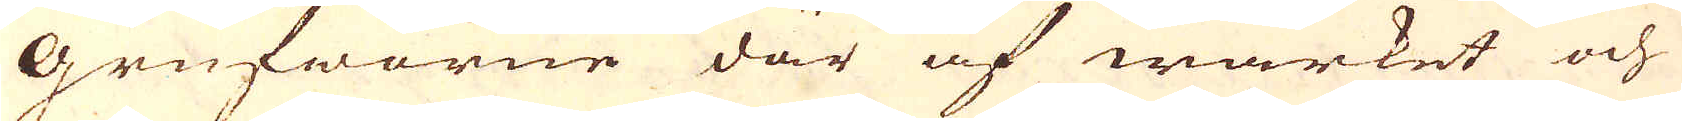Grufworne där af wärket och
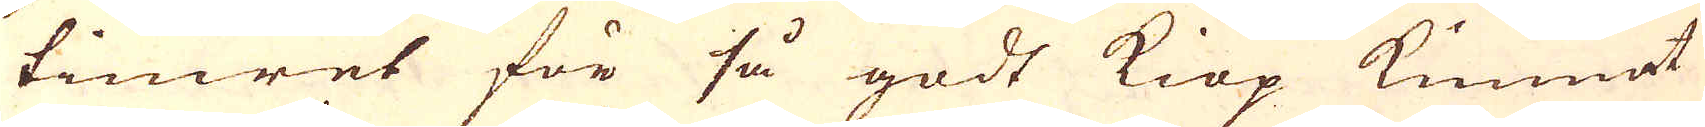timret för så godt kiöp kunnat
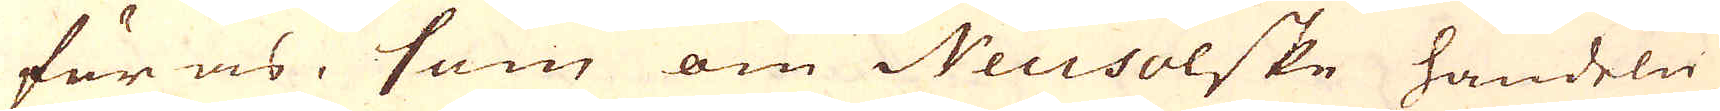föras, som om Neusolske handeln
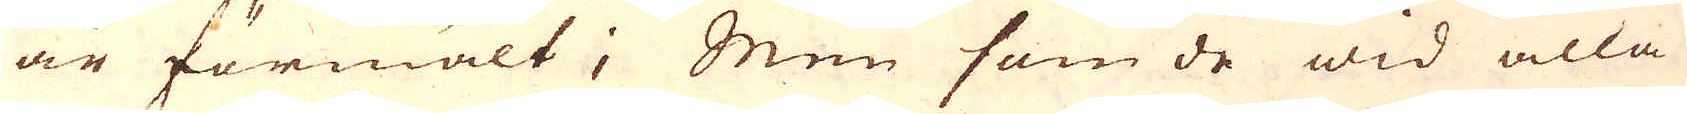är förmält; Men som de wid alla
